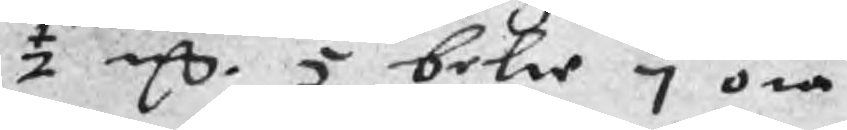½ mC. 5 belie 7 öre
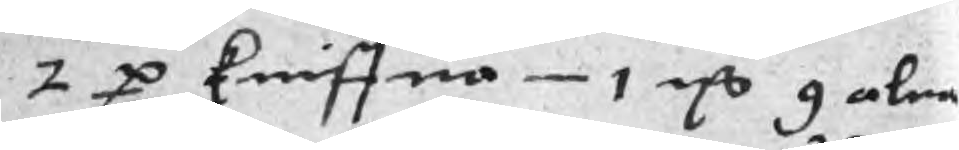2 p kniffua 1 mC 9 alna
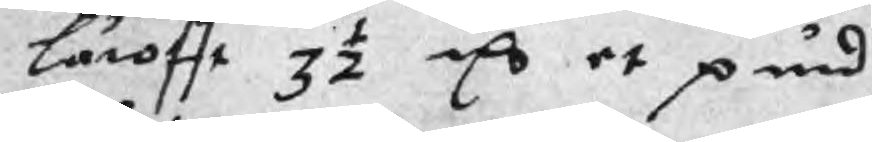Lärofft 3½ mC et pund
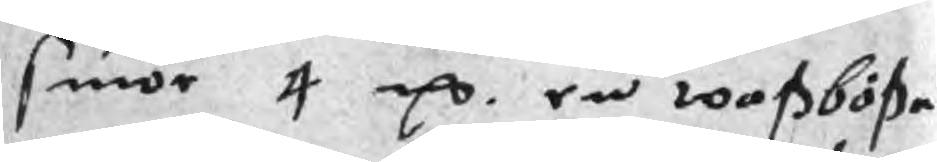suiör 4 mC. en woßböße
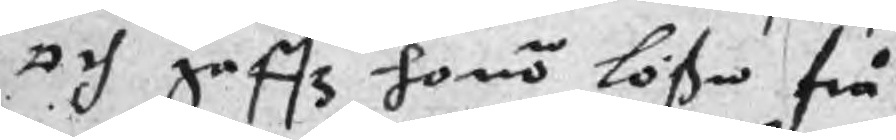och gaffz honom lößa frå
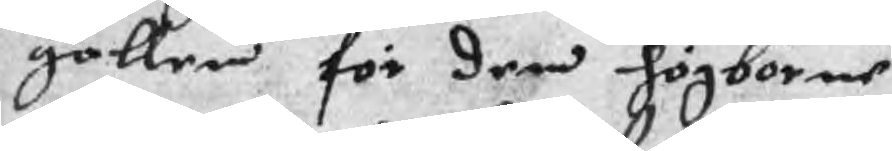gallen för den högborne
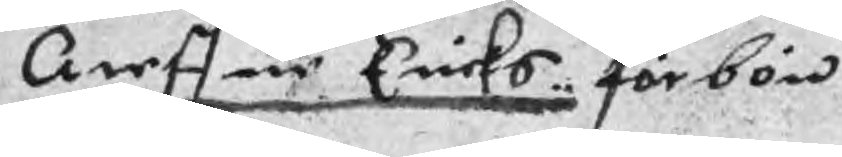Areffue Ericks förbön
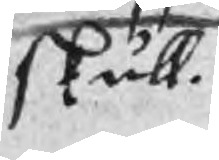skull.
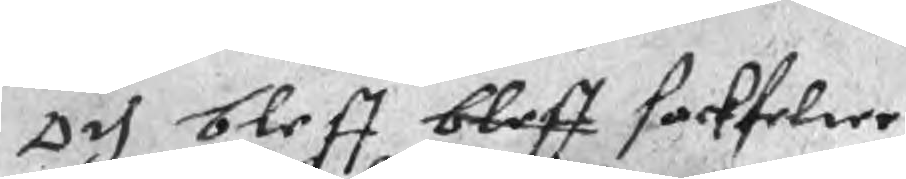Och bleff bleff sackfelter
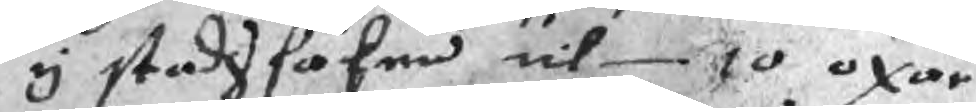y stadssaken  til 10 oxar
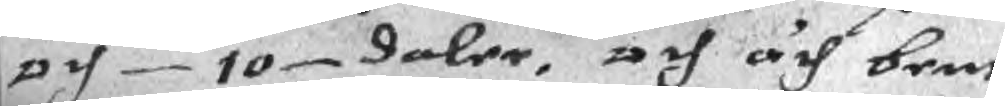och 10 daler, och åch bent
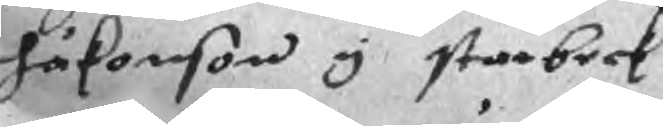håkonson y starbeck
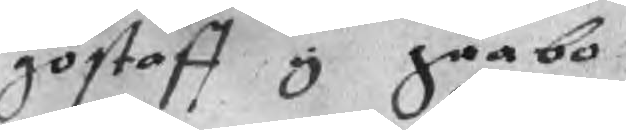göstaff y gäabo
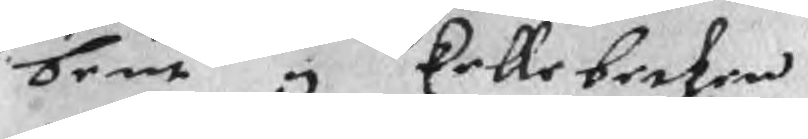bent y kellebecken
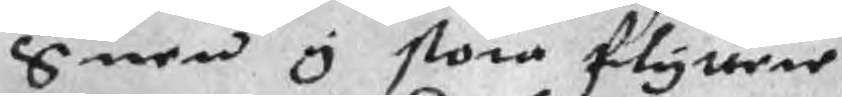Suen y stora flyttere
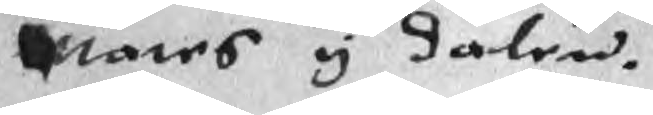Mates y dalen.
